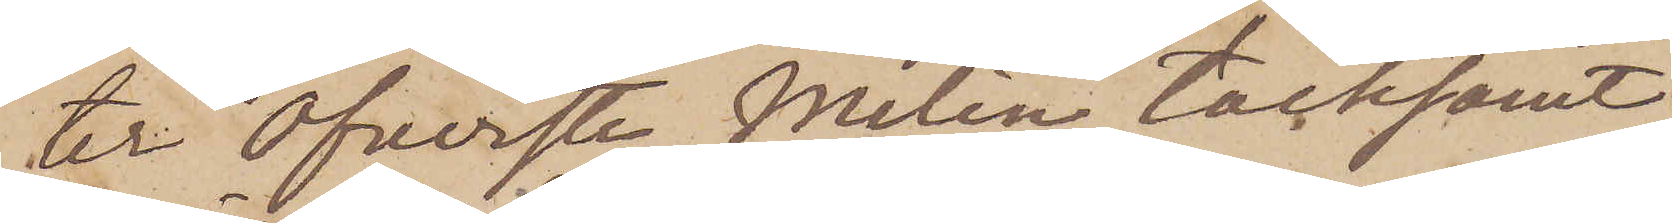ter Öfverste Melin tacksamt
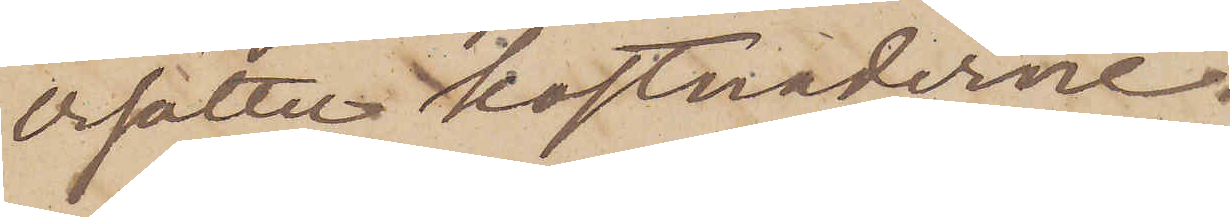ersätter kostnaderne.
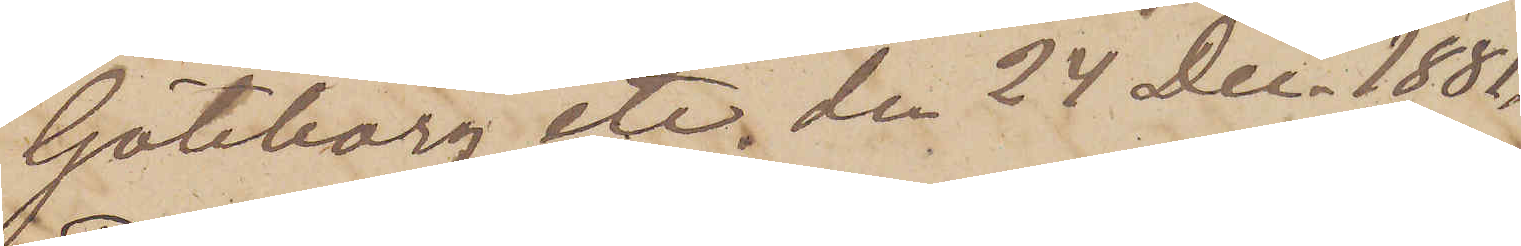Göteborg etc. den 24 Dec. 1881.
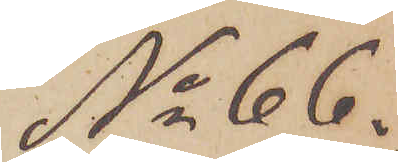No 66.
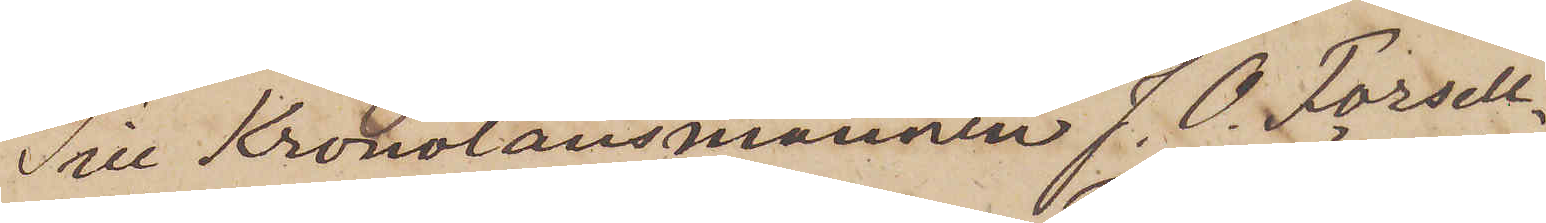Till Kronolänsmannen J. O. Forsell
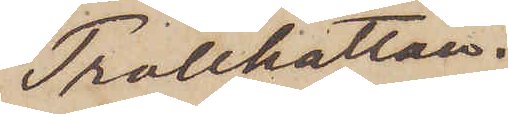Trollhättan.
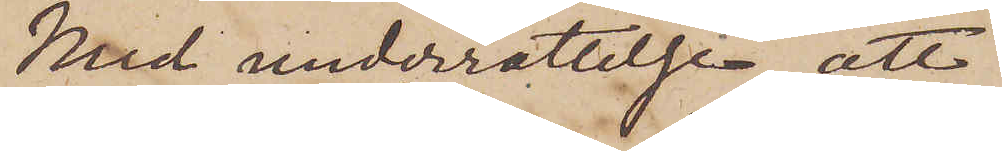Med underrättelse, att
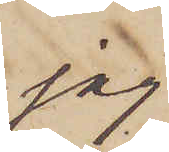jag
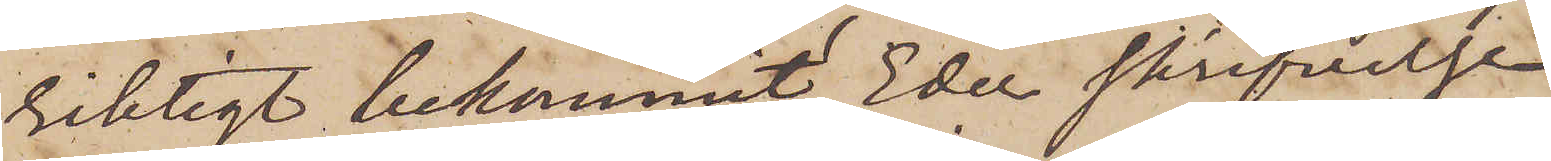riktigt bekommit Eder skrifvelse
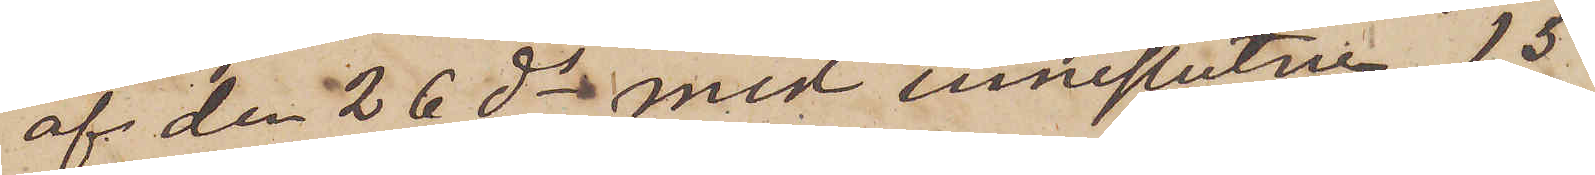af den 26 ds med inneslutne 15
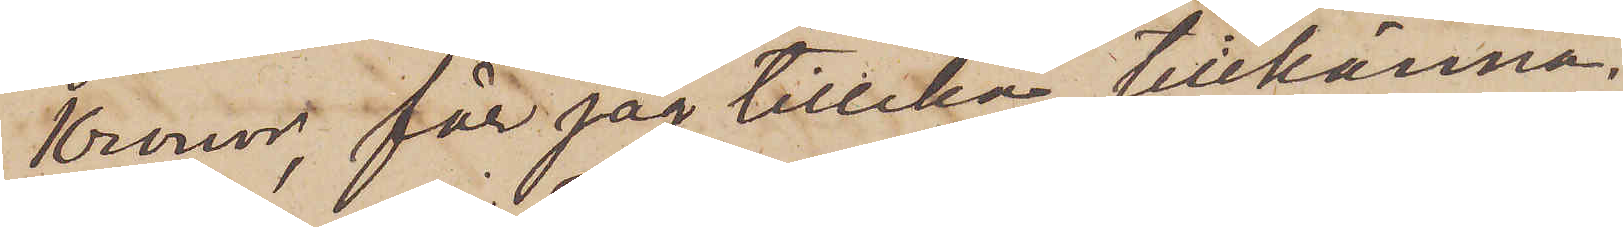Kronor, får jag tillika tillkänna¬
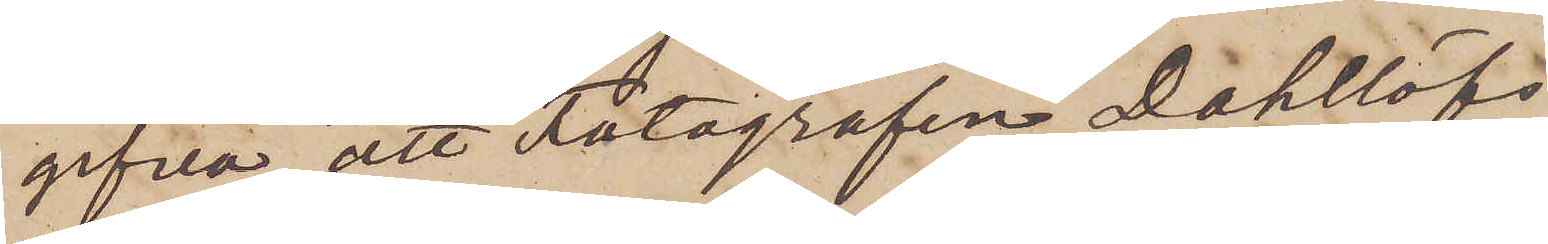gifva att Fotografen Dahllöfs
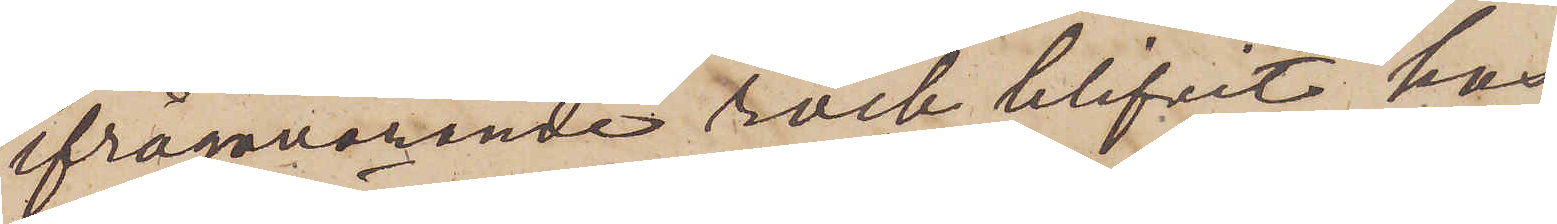ifrågavarande rock blifvit hos
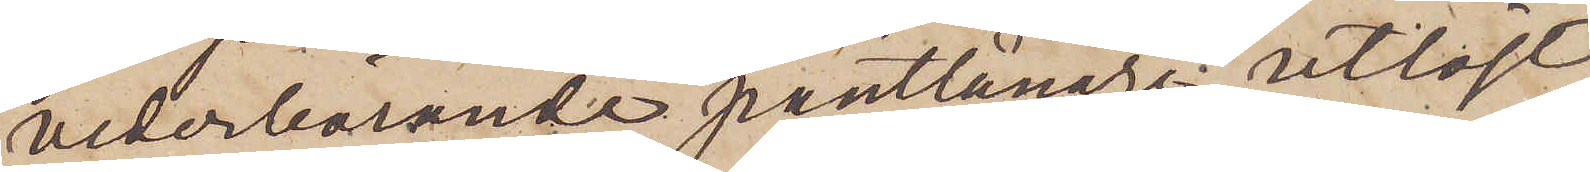vederbörande pantlånare utlöst
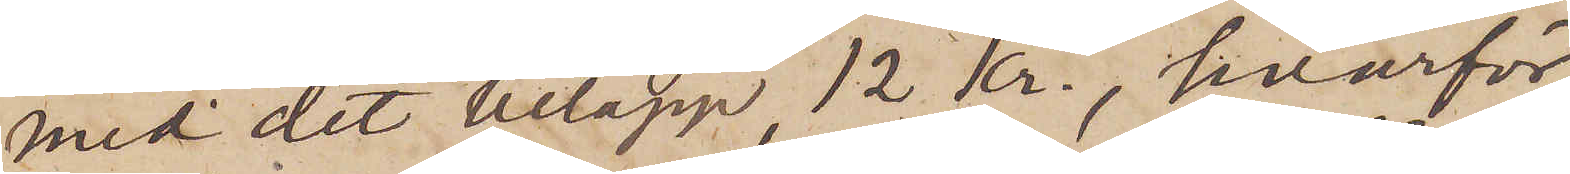med det belopp 12 kr., hvarför
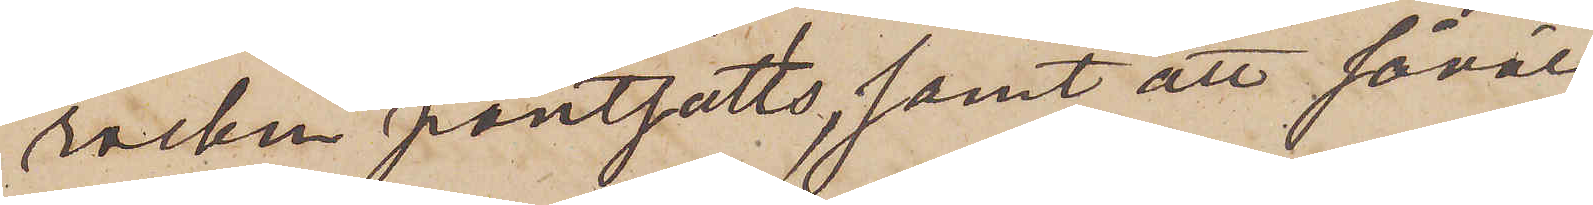rocken pantsatts, samt att såväl
